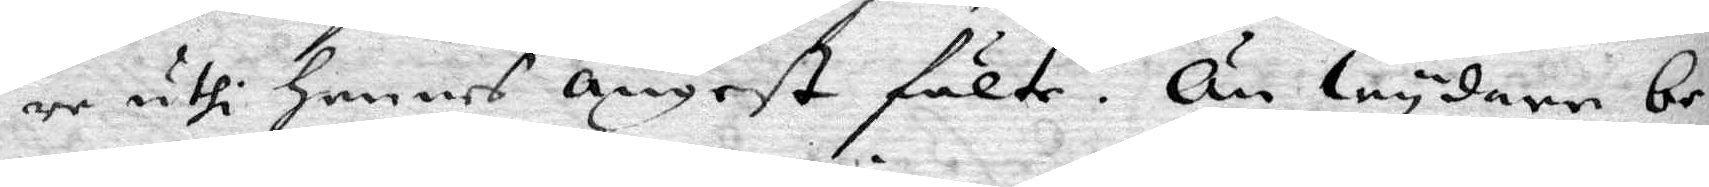re uthi hennes ångest fälte. Än wydare be¬
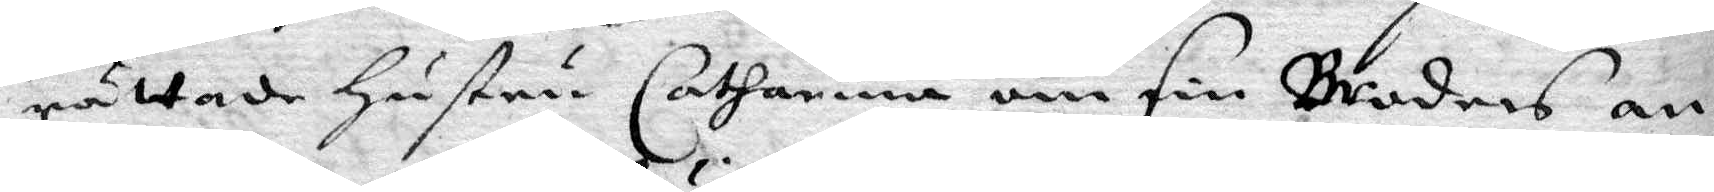rättade hustru Catharina om sin Broders an¬
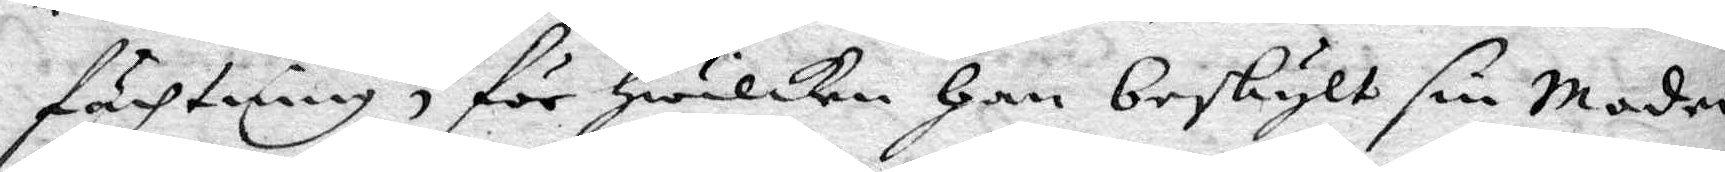fächtning, för hwilken han beskylt sin Moder,
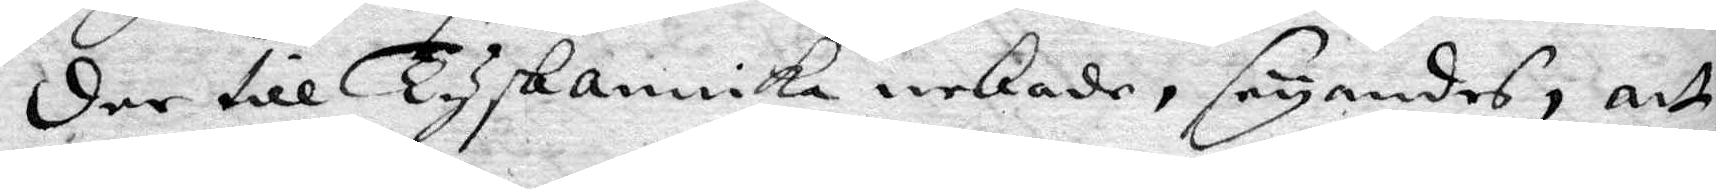der till Tysk annika nekade, seyandes, att
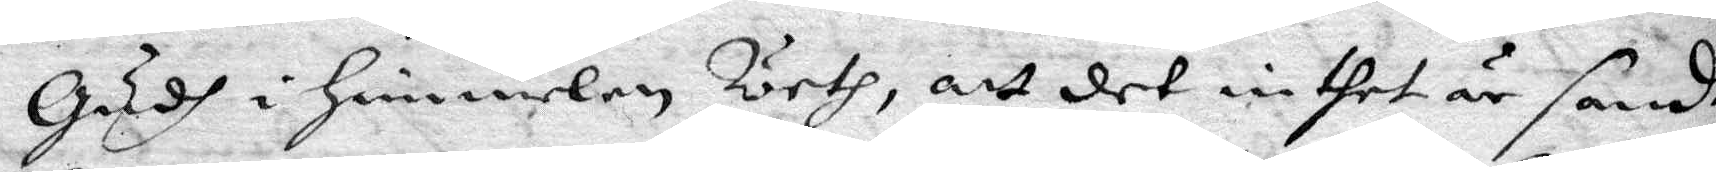Gudh i himmelen Weth, att det intehet är sandt,
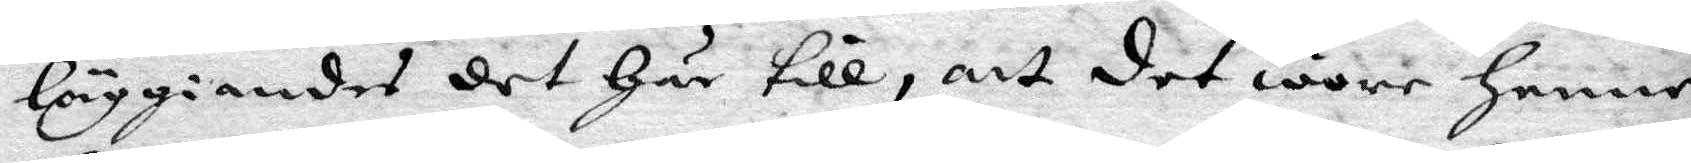läggiandes det här till, att det wore henne
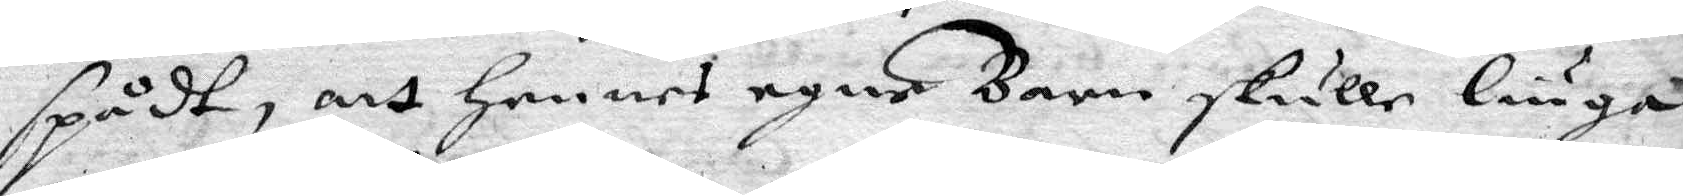spådt, att hennes egne Barn skulle liuga
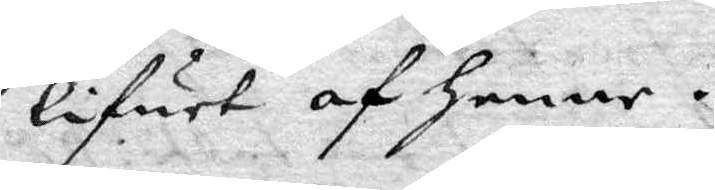lifwet af henne.
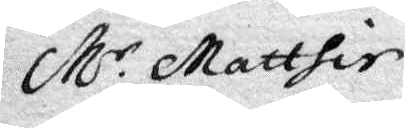Mr Matthie
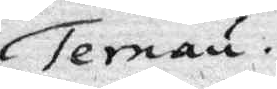Ternau
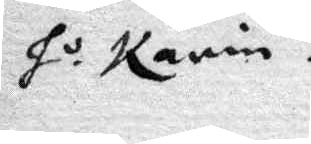ho Karin
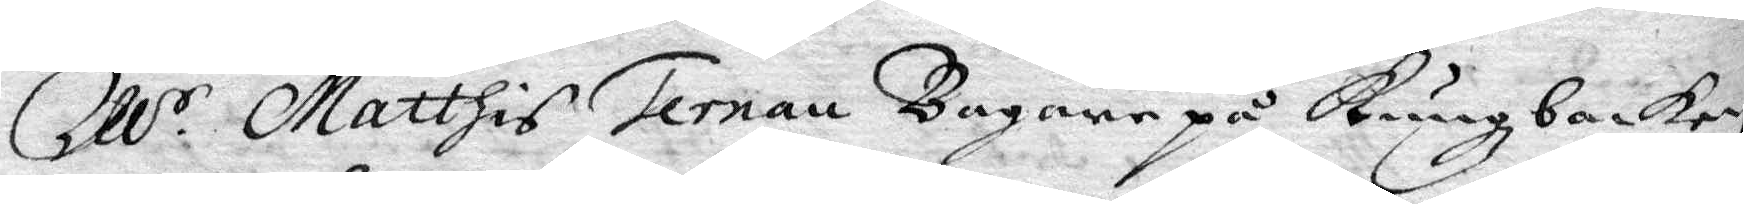Mr Matthis Ternau Bagare på Kungzbacken
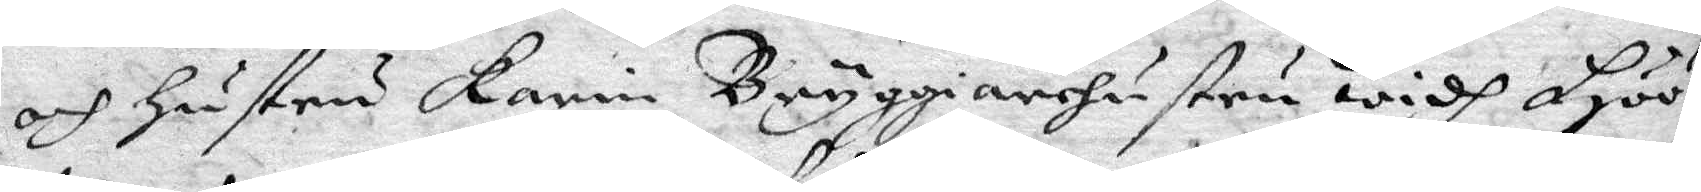och hustru Karin Bryggiarehustru widh Höö¬
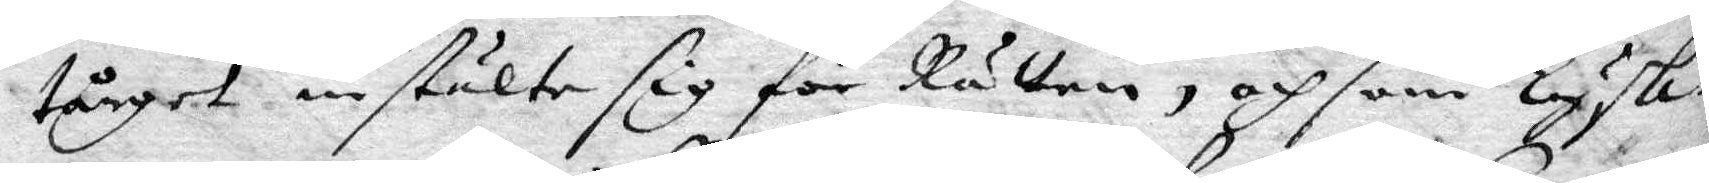tårget instälte sig för Rätten, och som Tysk¬
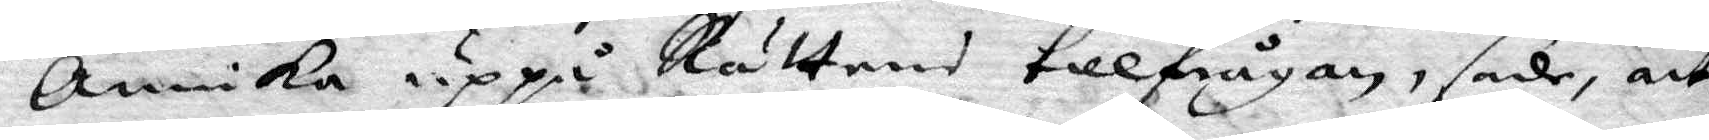Annika uppå Rättens tilfrågan, sade, att
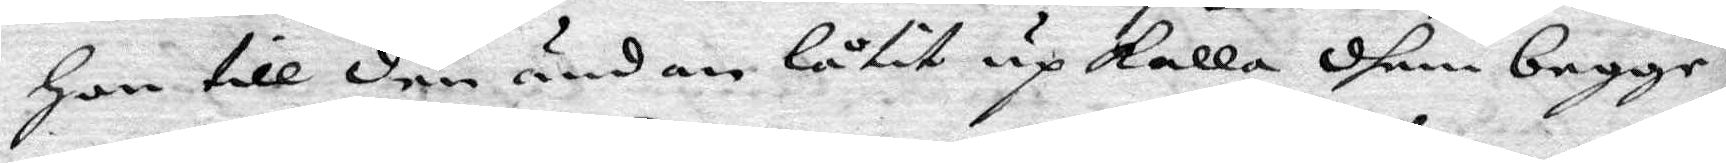hon till den ändan låtit upkalla dhem begge,
